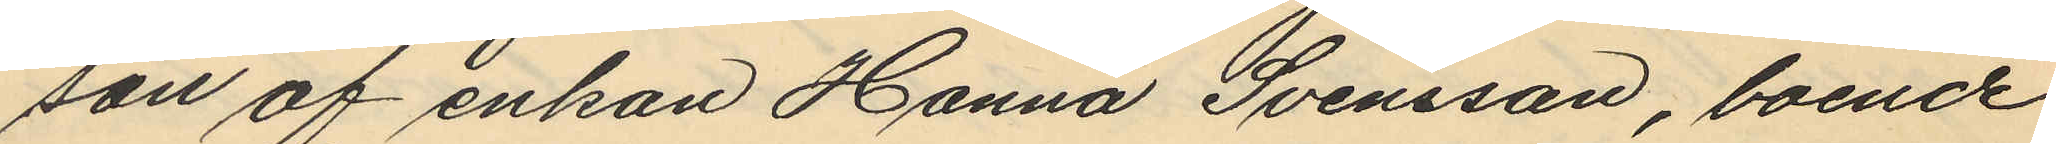son af enkan Hanna Svensson, boende
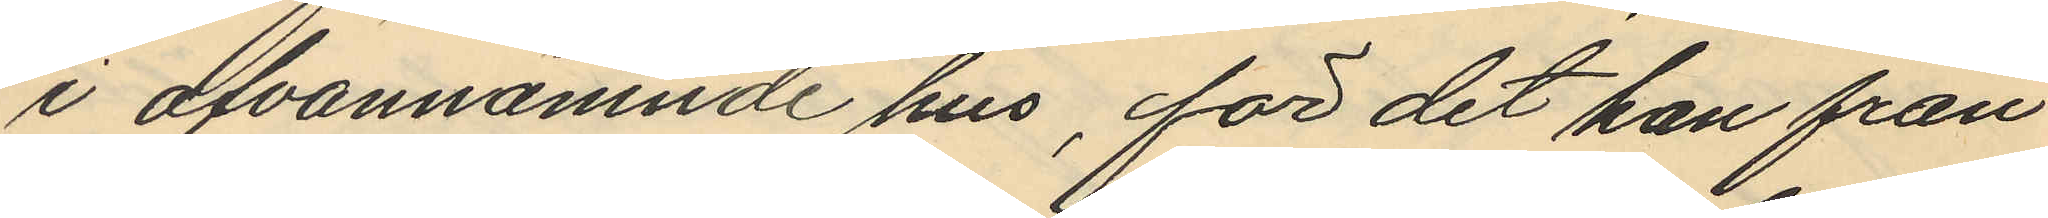i ofvannämnde hus, för det han från
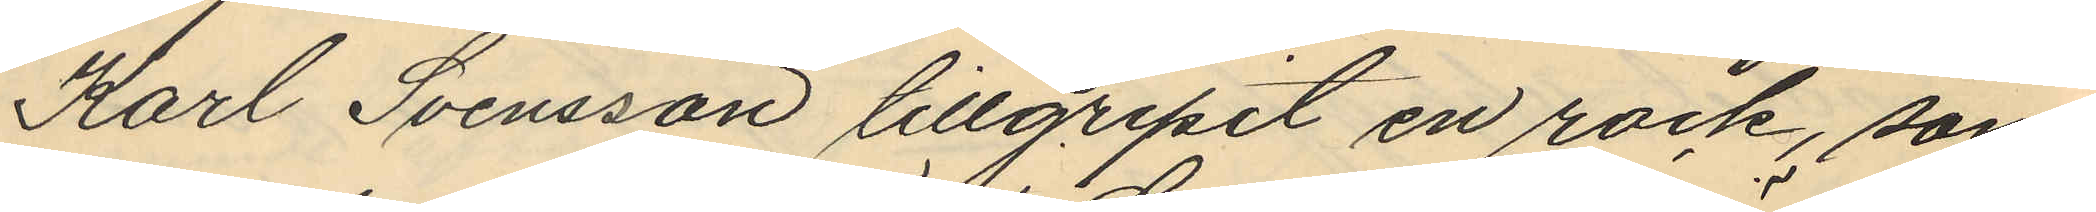Karl Svensson tillgripit en rock, som
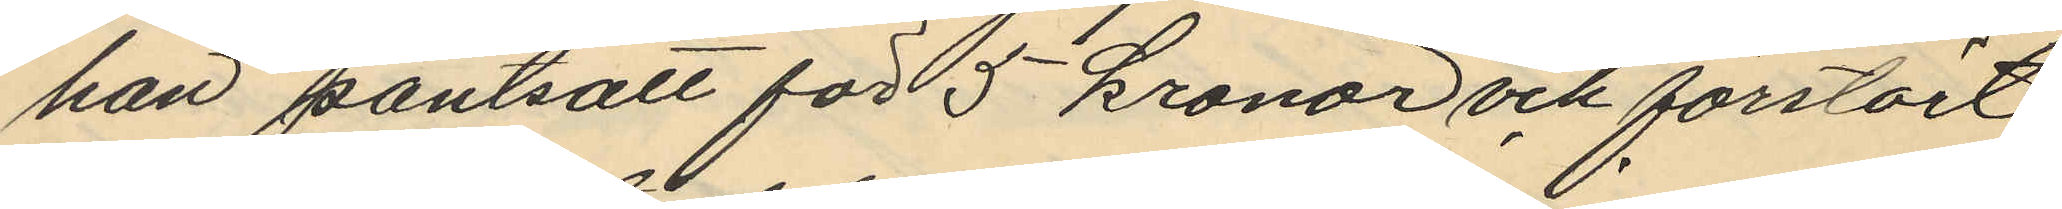han pantsatt för 5 kronor och förstört
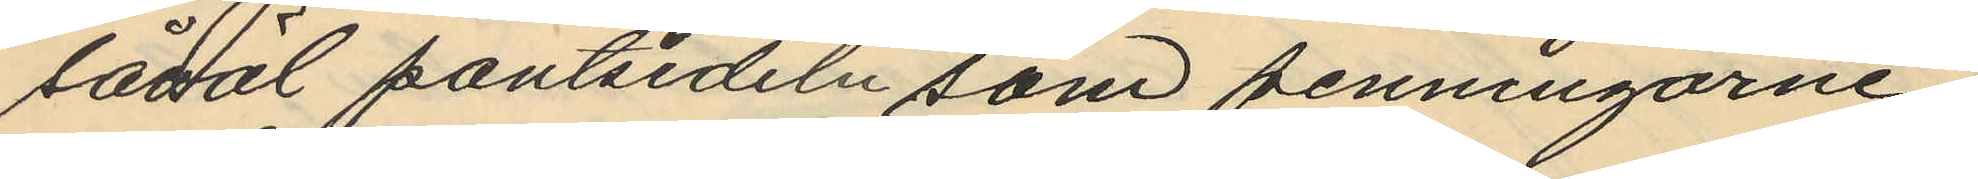såväl pantsedeln som penningarne.
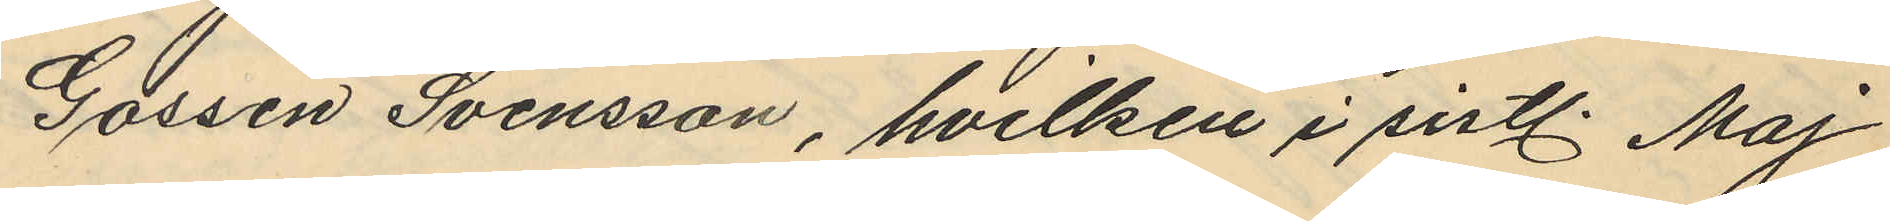Gossen Svensson, hvilken i sistl. Maj
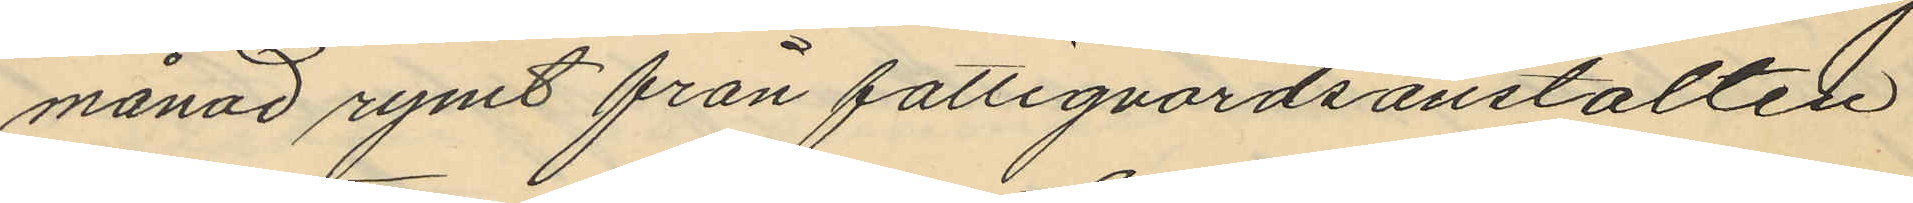månad rymt från fattigvårdsanstalten
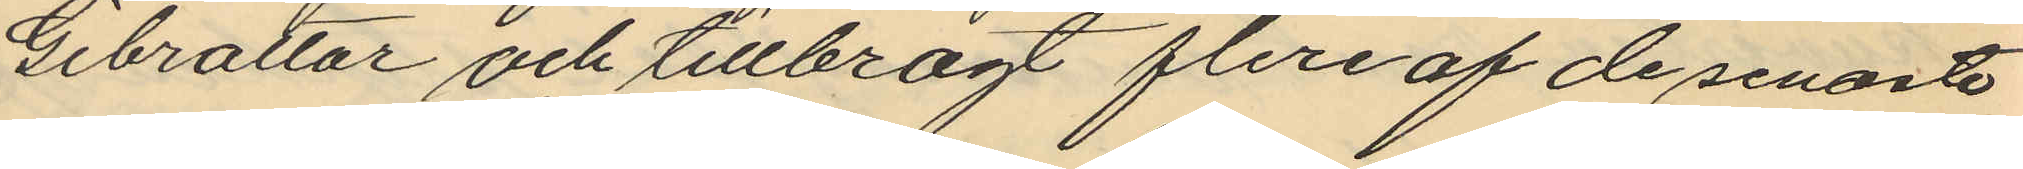Gibraltar och tillbragt flera af de senaste
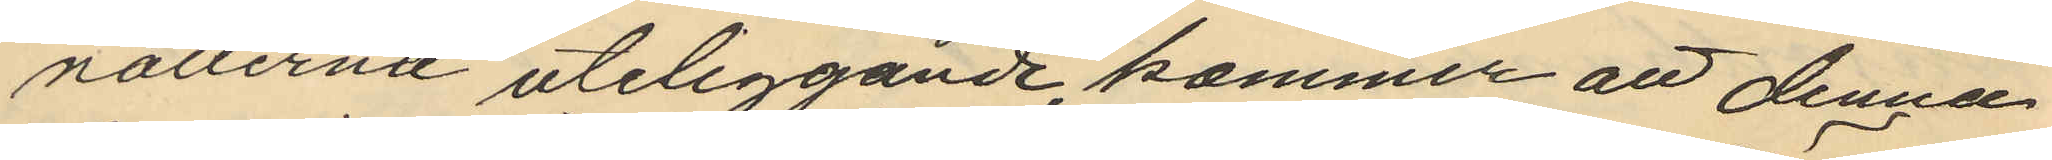nätterna uteliggande kommer att denna
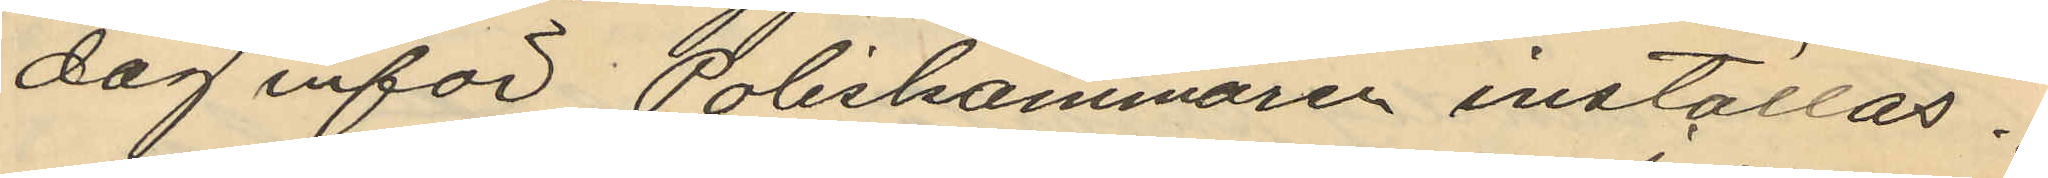dag inför Poliskammaren inställas.
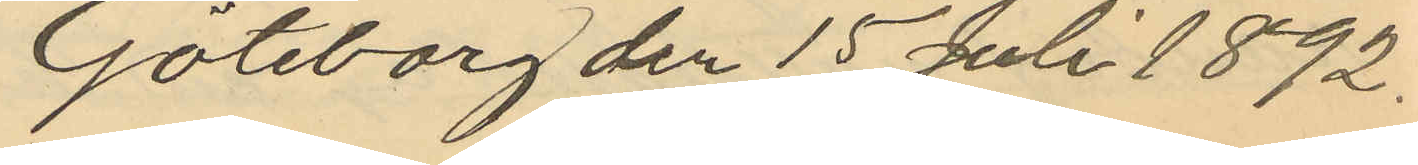Göteborg den 15 Juli 1892.
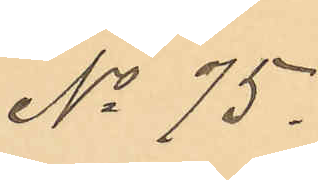No 75.
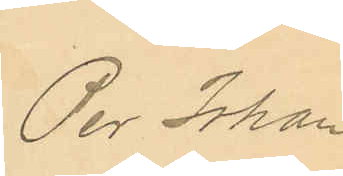Per Johan
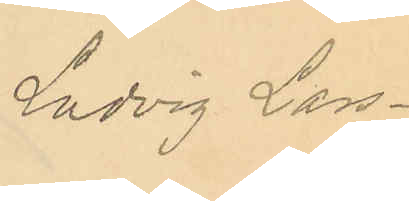Ludvig Lars¬
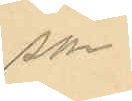son
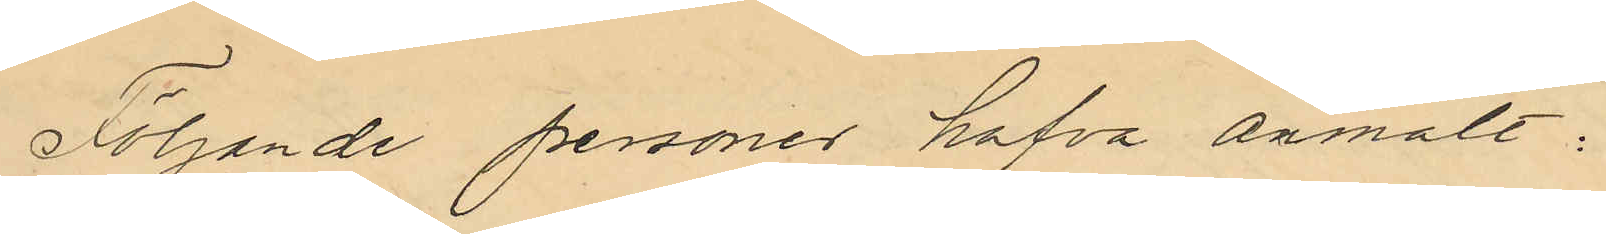Följande personer hafva anmält:
